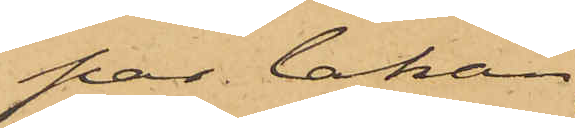par lakan
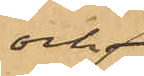och
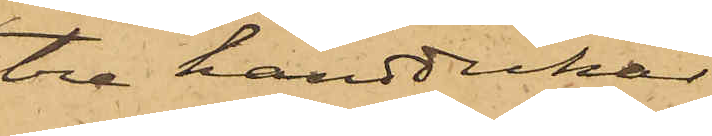tre handdukar.
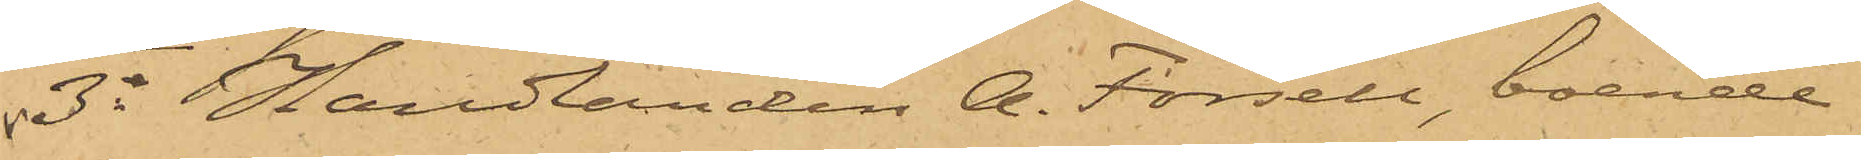3o Handlanden A. Forsell, boende
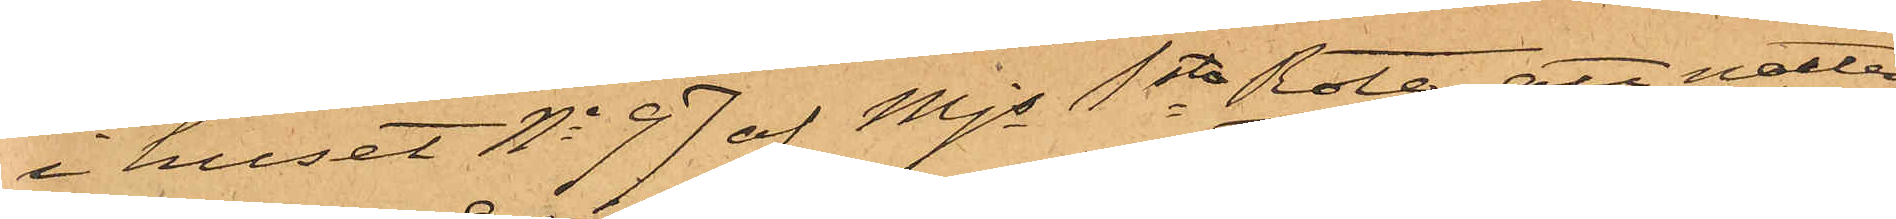i huset No 97 af Mjs 1ste Rote, att natten
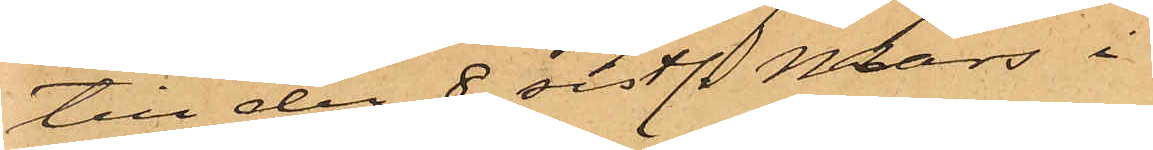till den 8 sistl. Mars i
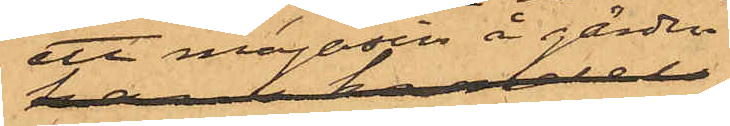ett magasin å gården
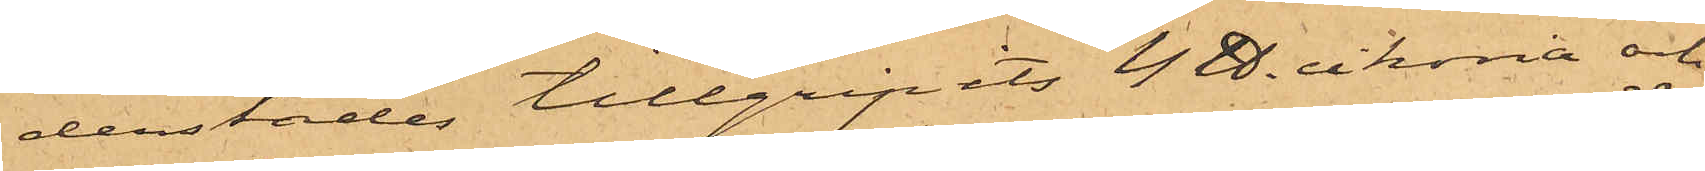derstädes tillgripits 4 ℔. cikoria och
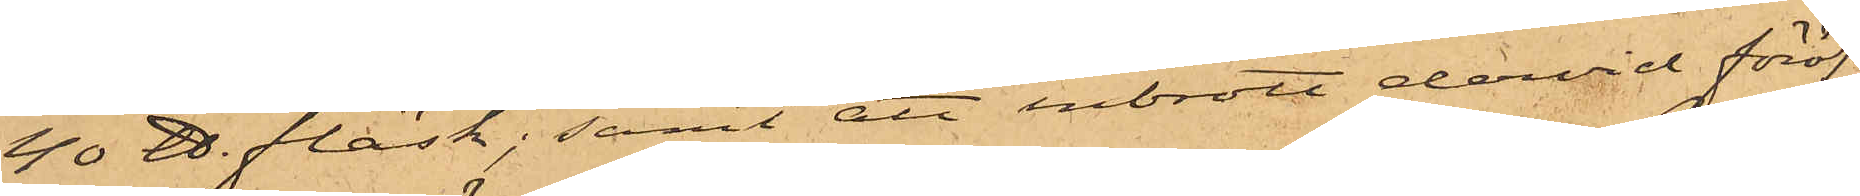40 ℔. fläsk; samt att inbrott dervid föröf¬
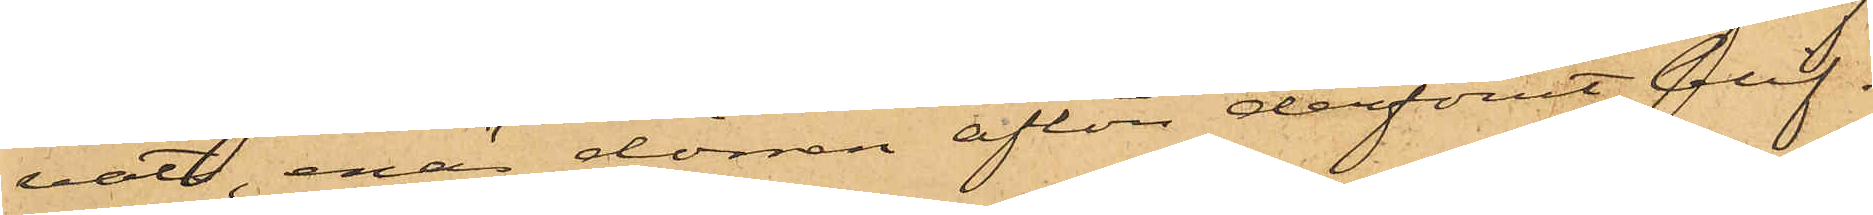vats, enär dörren afton derförut blif¬
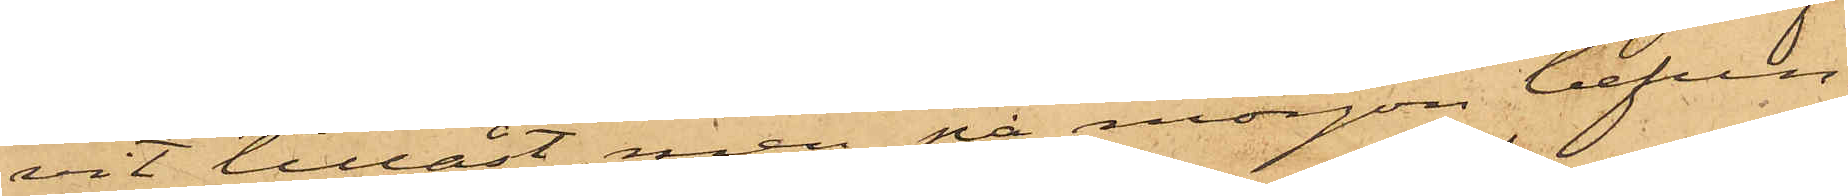vit tillåst, men på morgon befun¬
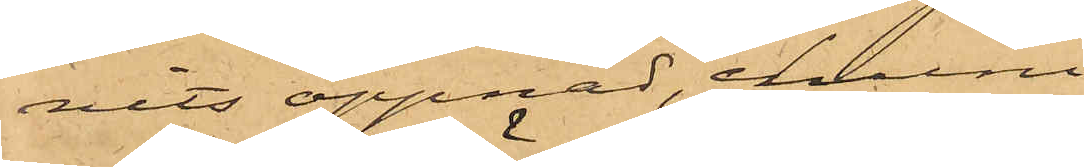nits öppnad, ehuru
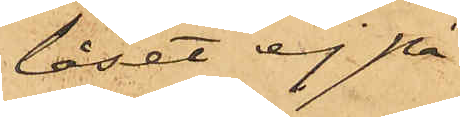låset ej på
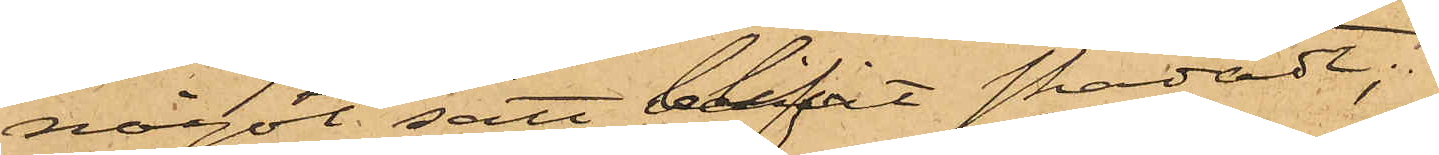något sätt blifvit skadadt;
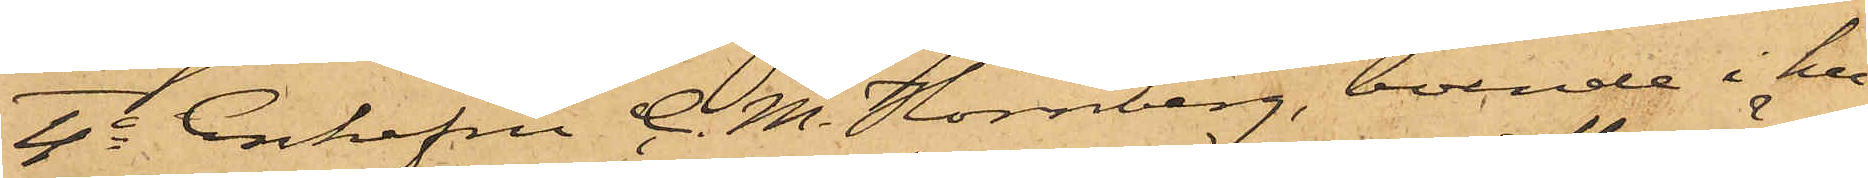4o Enkefru C. M. Hörnberg, boende i hu¬
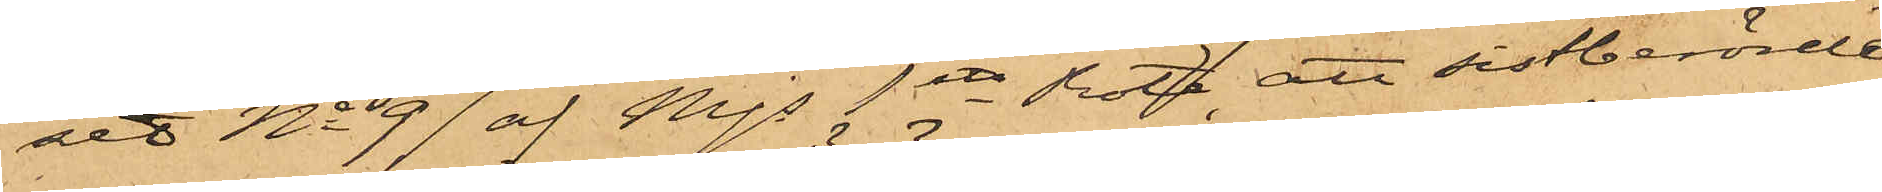set No 97 af Mjs 1ste Rote, att sistberörde
